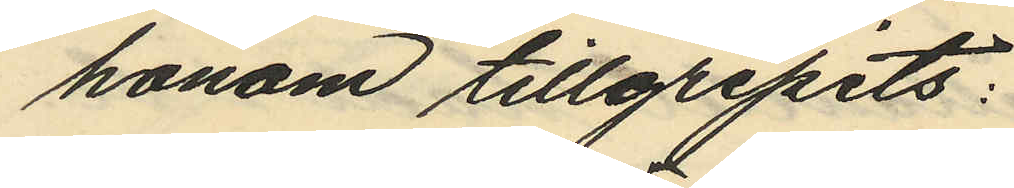honom tillgripits:
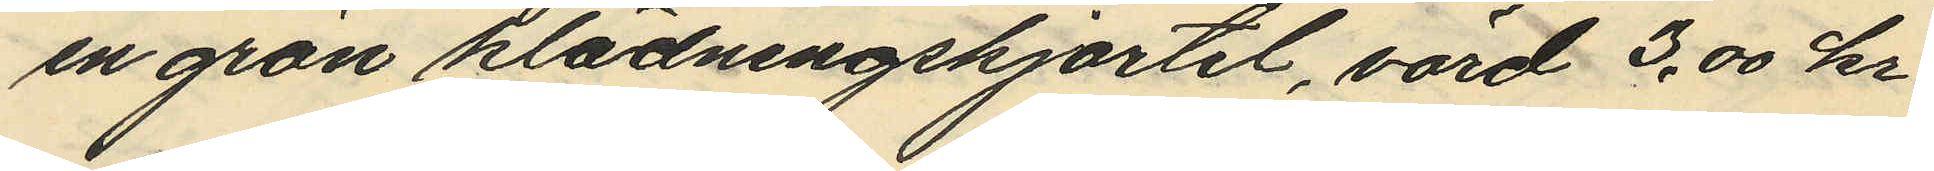en grön klädningskjortel, värd 3.00 kr
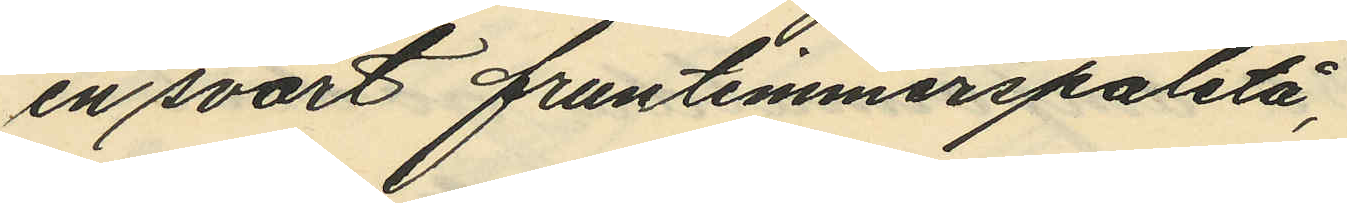en svart fruntimmerspaletå,
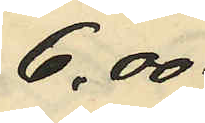6,00
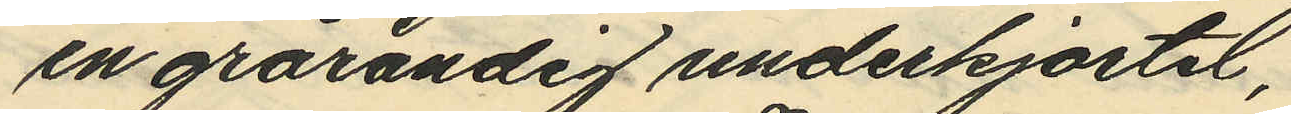en grårandig underkjortel,
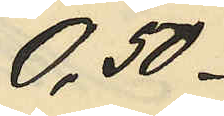0,50
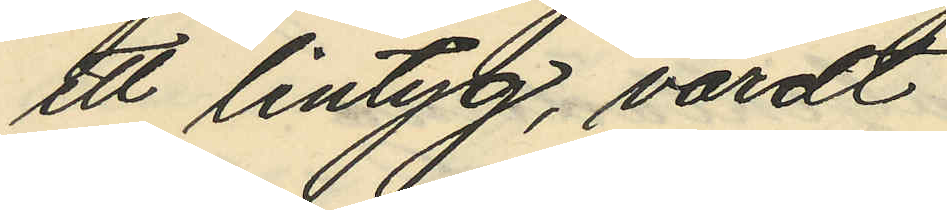ett lintyg, värdt
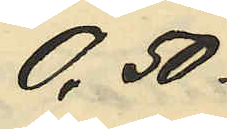0,50
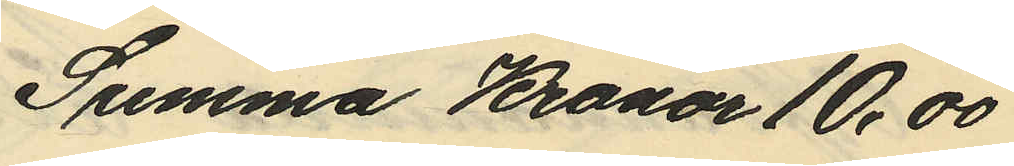Summa Kronor 10,00
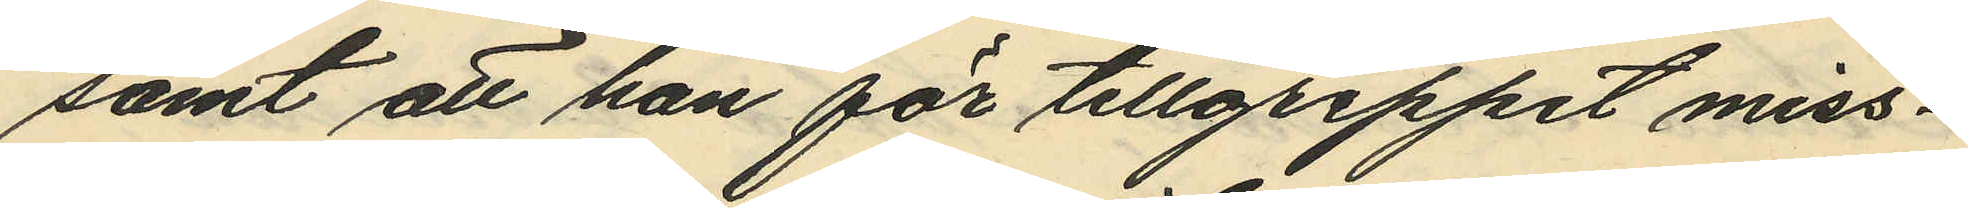samt att han för tillgreppet miss¬
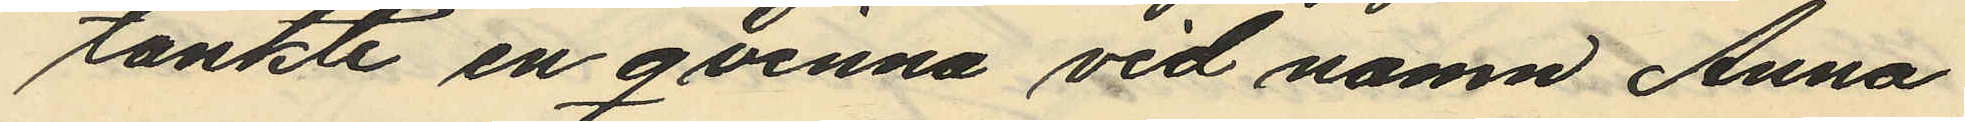tänkte en qvinna vid namn Anna
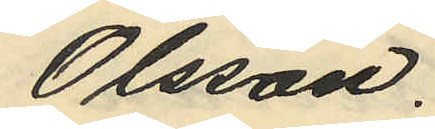Olsson.
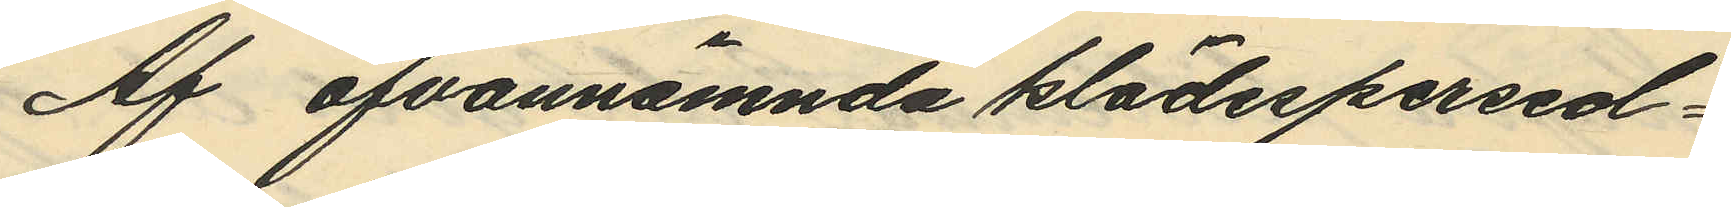Af ofvannämnda klädespersed¬
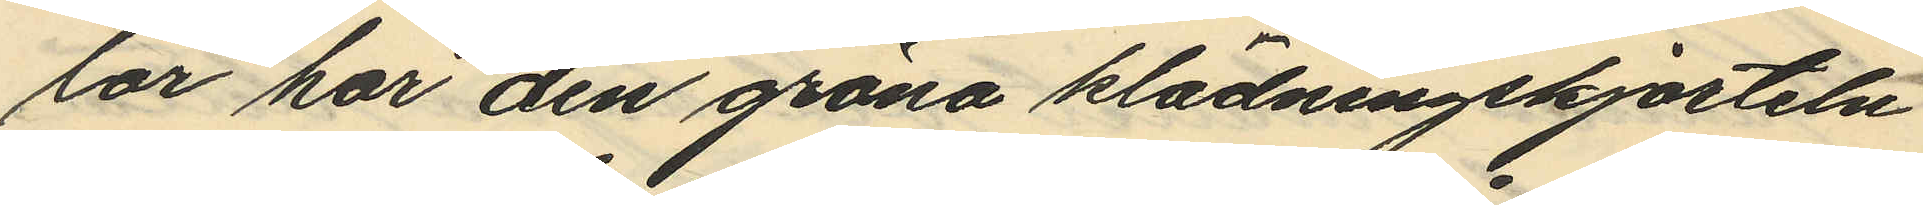lar har den gröna klädningskjorteln
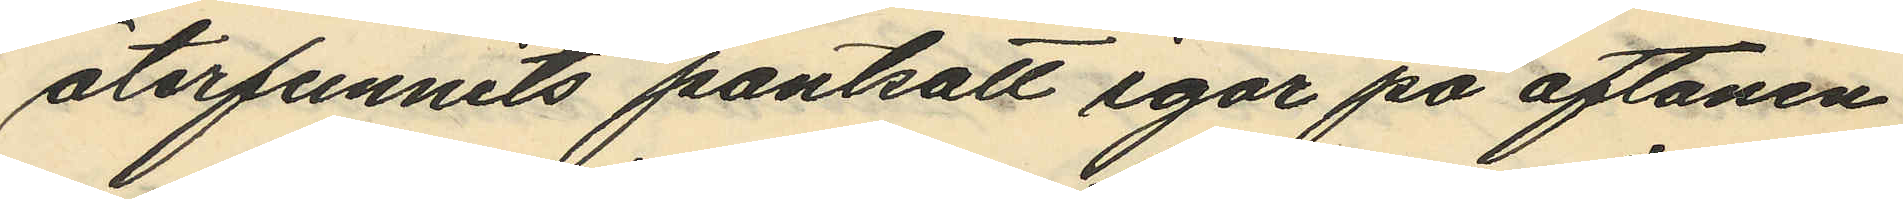återfunnits pantsatt igår på aftonen
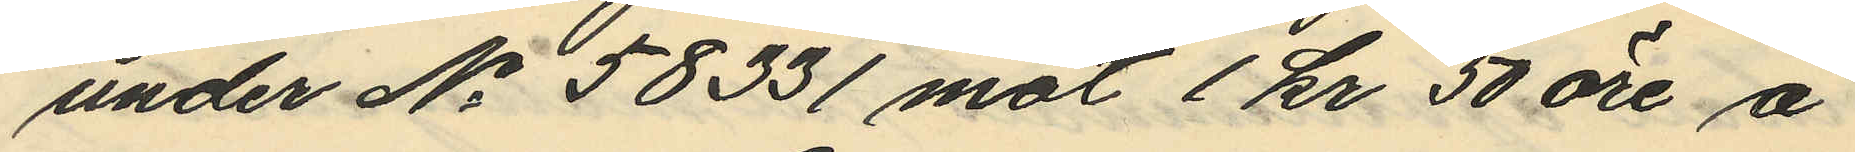under No 58331 mot 1 kr 50 öre å
